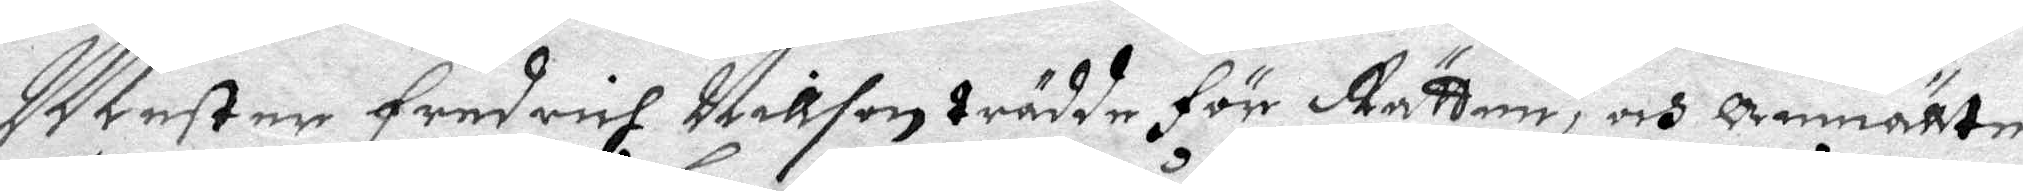Mester Fredrich Nillson trädde för Rätten, och Anmällte
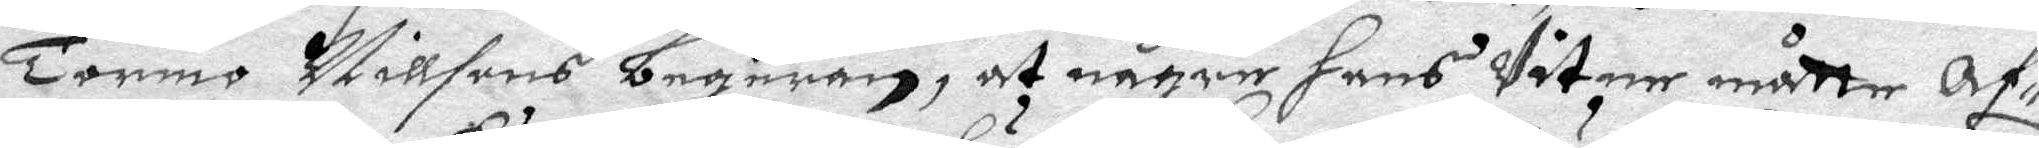Tormo Nillsons begeran, at någre hans Vitne måtte Af¬
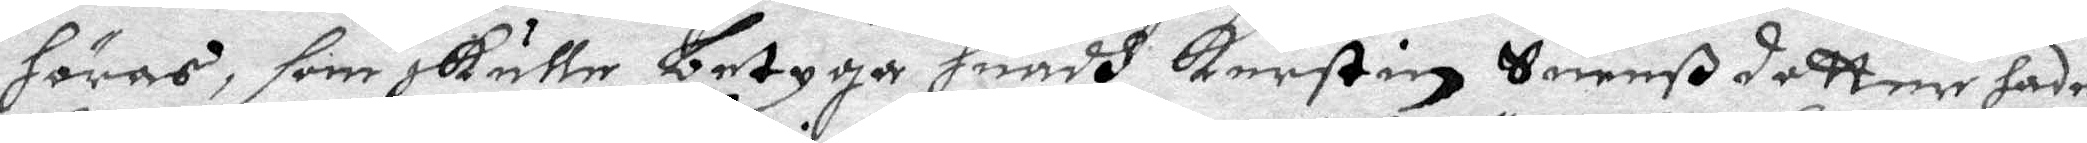höras, som skulle betyga huadh Kerstin Suenßdotter hade
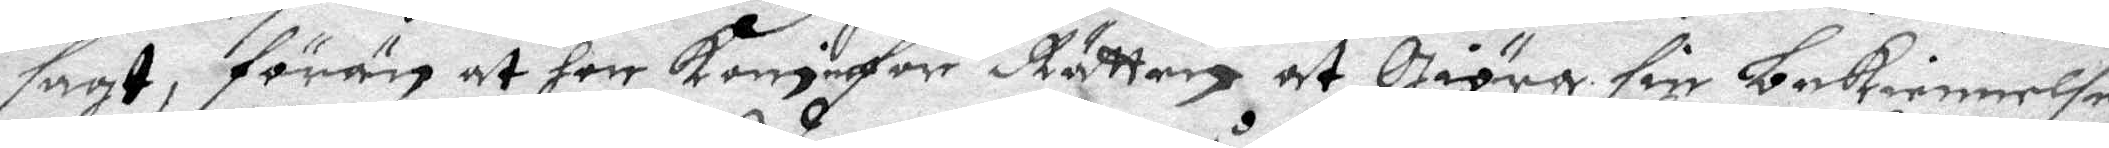sagt, förän at hon kom inför Rätten at giöra sin bekiennelse
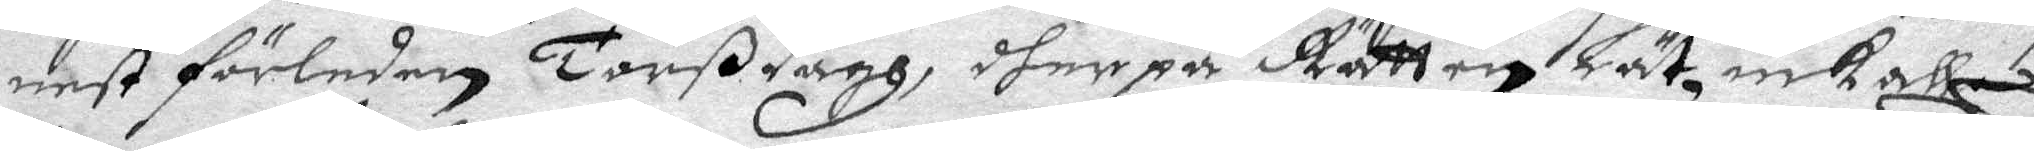nest förledne Torßdagh, dher på Rätten Lät inkalla
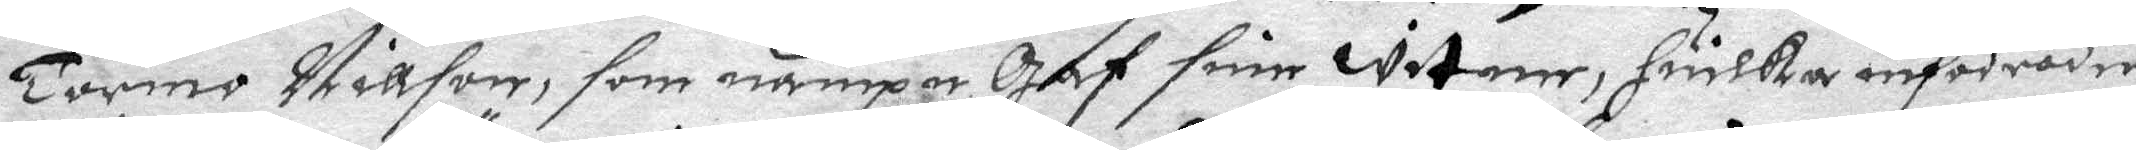Tormo Nillson, som nampn gaf sine witne, huilka infodrades
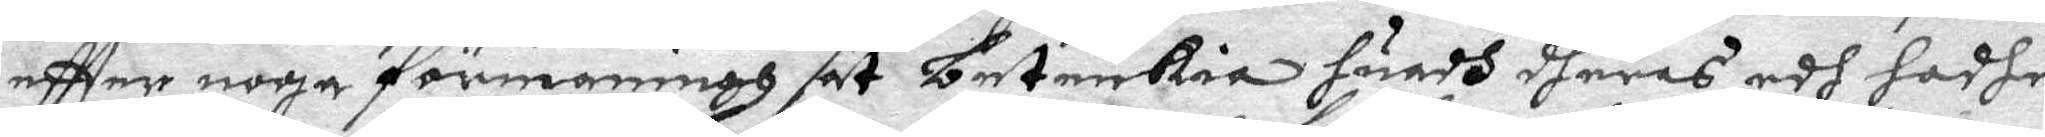eftter noga förmaning at betenkia huadh dheras edh hadhe
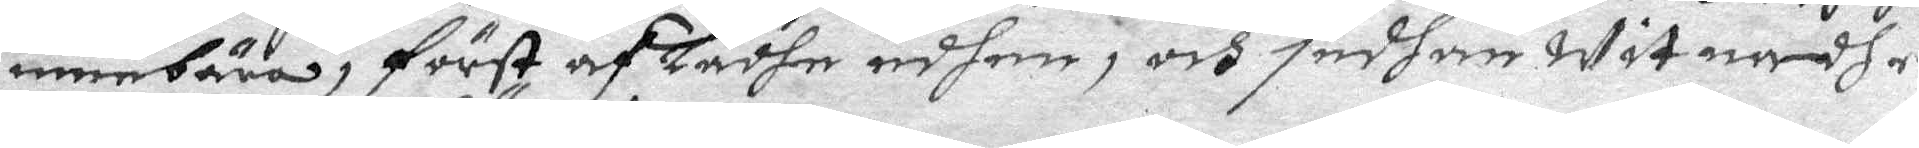innebära, först afladhe edhen, och sedhan witnadhe
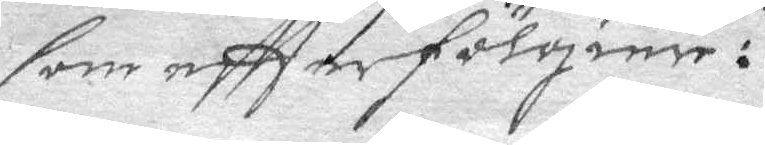som eftterfölgier:
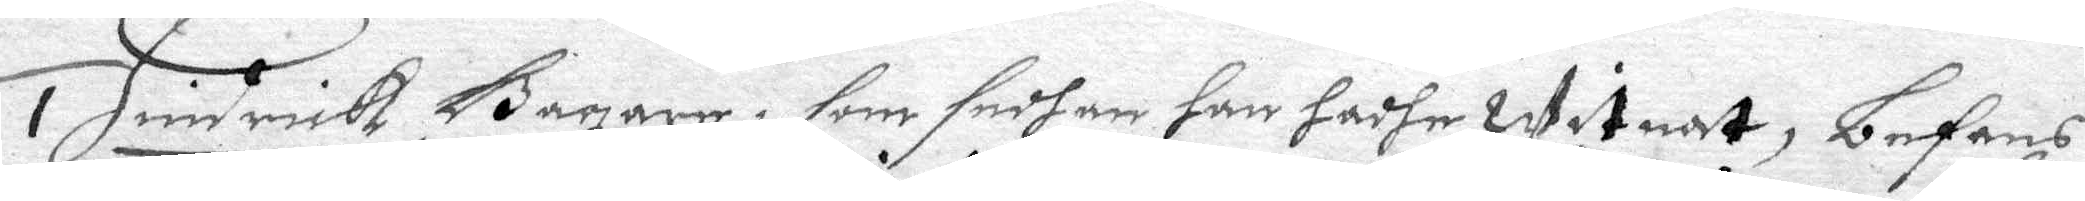1 Hindrick Bagare, som sedhan hanhadhe witnat, befans
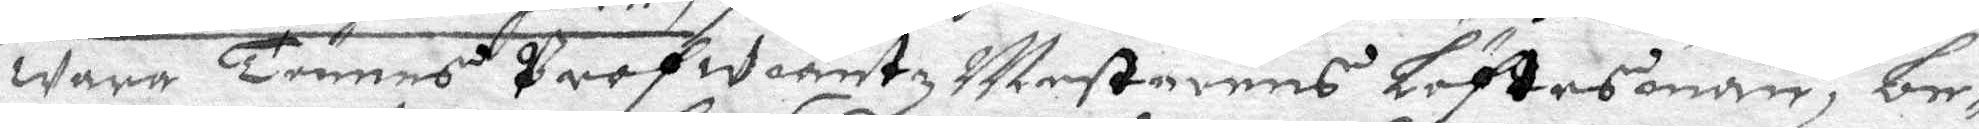wara Tönnes Profwiantz Mestarens Löftesman, be¬
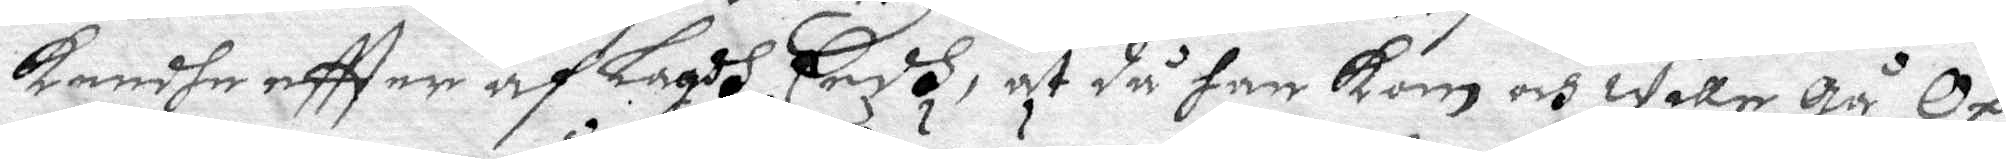kendhe eftter af Lagdh Eedh, at då han kom och wille gå Op
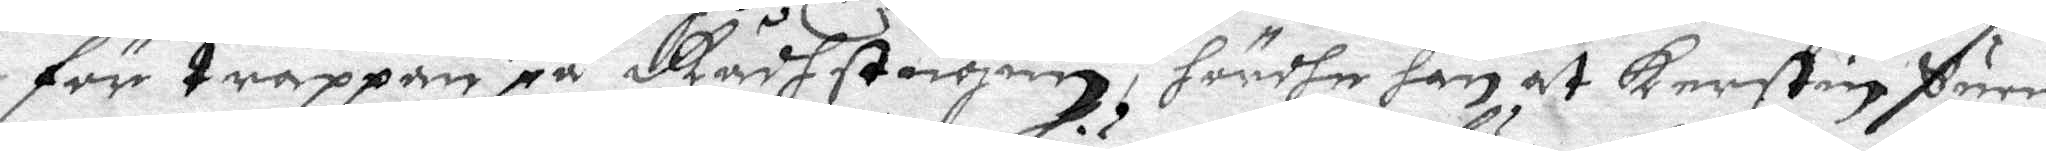för trappan på Rådhstugun, hördhe han at Kerstin Suen
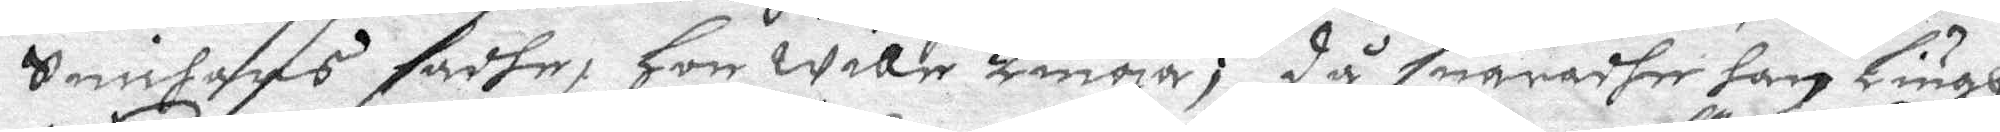Snickares sadhe, Hon wille Liuga; då suaradhe han Liugh
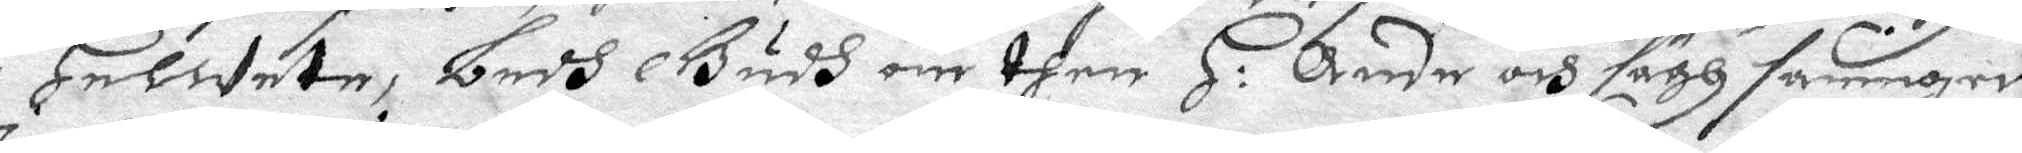i Helwete, bedh Gudh om dhen H: Ande och sägh sanningen.
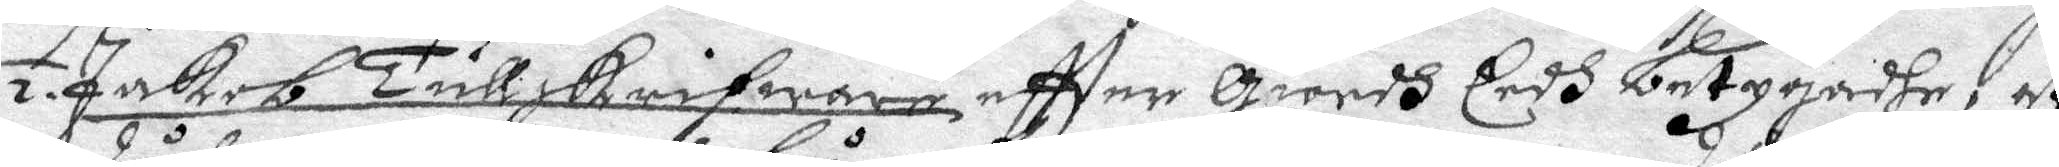2. Jakob Tullskrifware eftter giordh Eedh betygadhe, at
